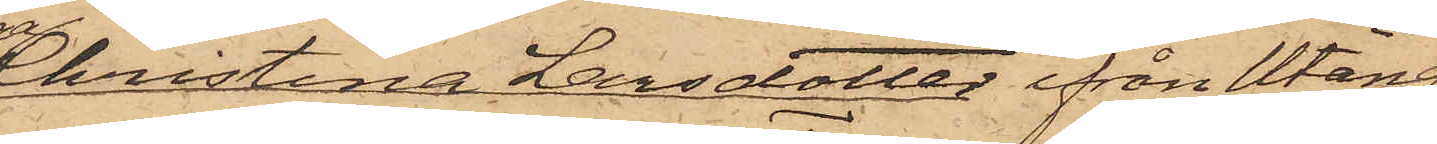Christina Larsdotter ifrån Utäng
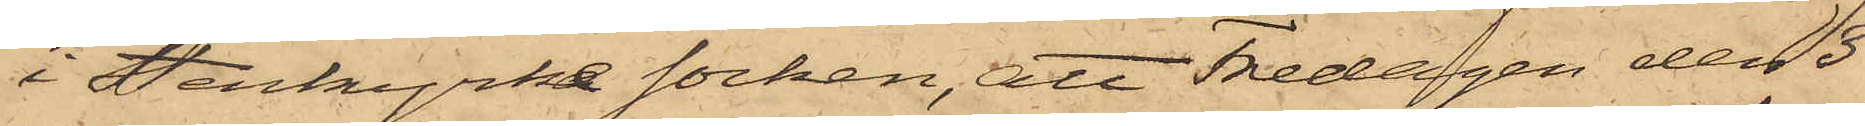i Stenkyrke Socken, att Fredagen den 3
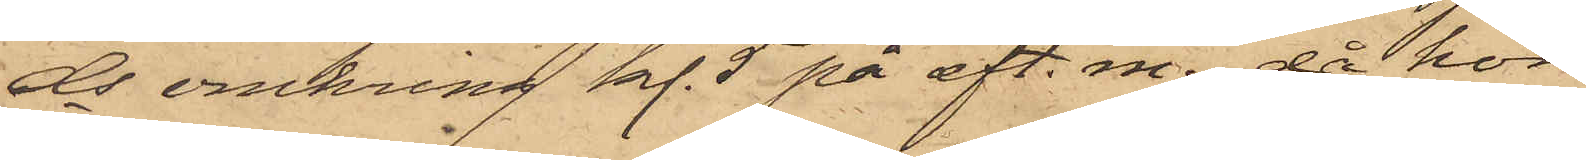ds omkring kl. 5 på eft. m., då hon
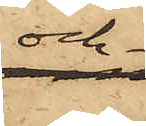och
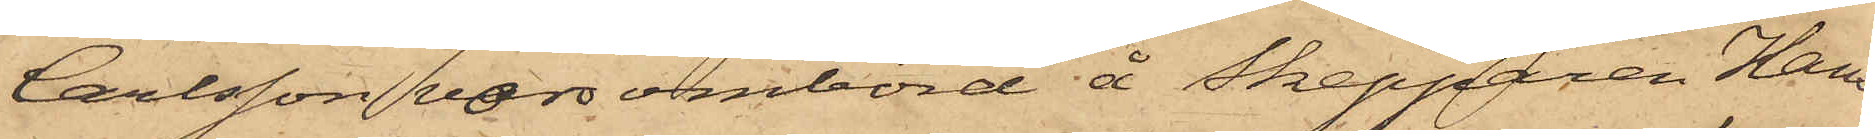Carlsson voro ombord å Skepparen Hans
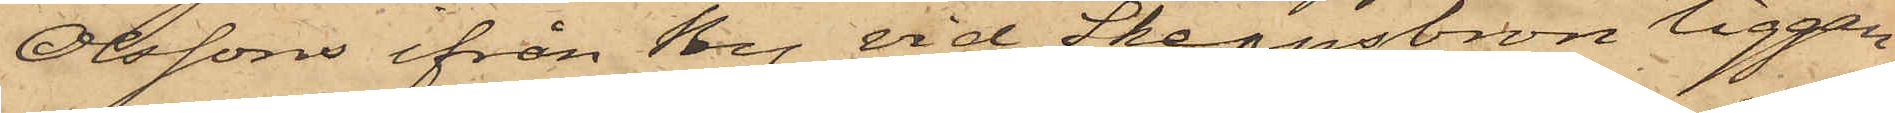Olssons ifrån By vid Skeppsbron liggan¬
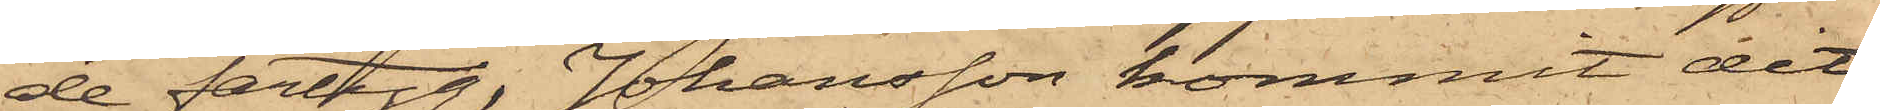de fartyg, Johansson kommit dit
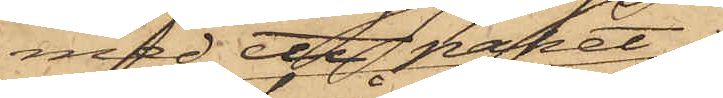med ett paket
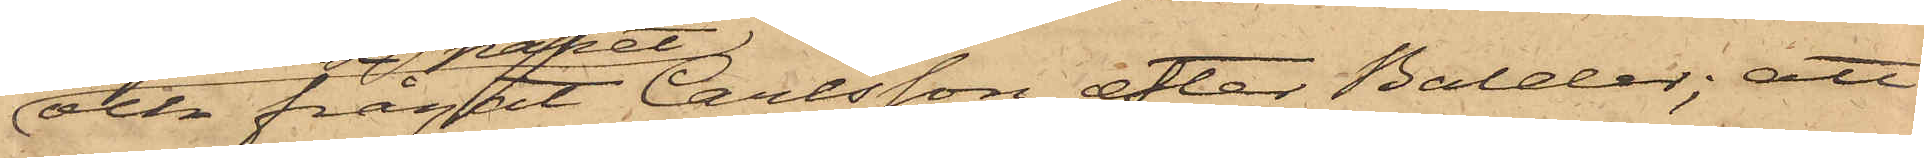och frågat Carlsson efter Balder; att
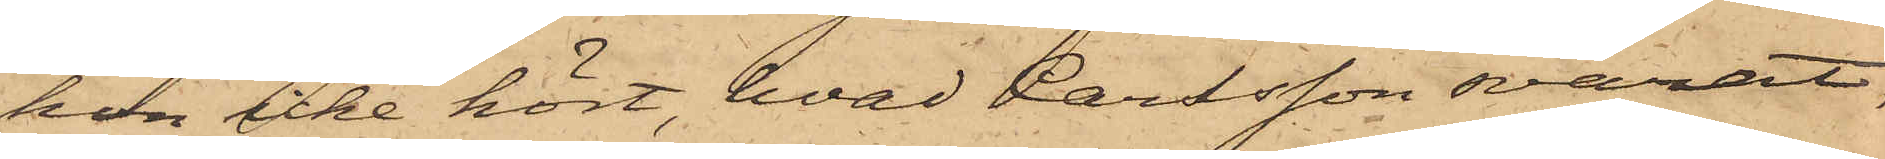hon icke hört, hvad Carlsson svarat,
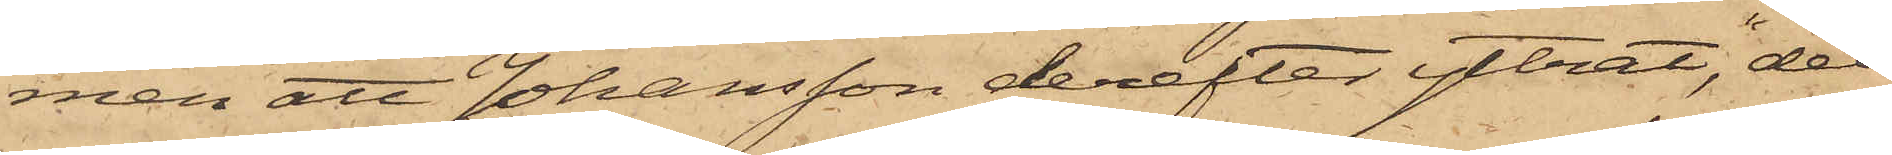men att Johansson derefter yttrat, "det
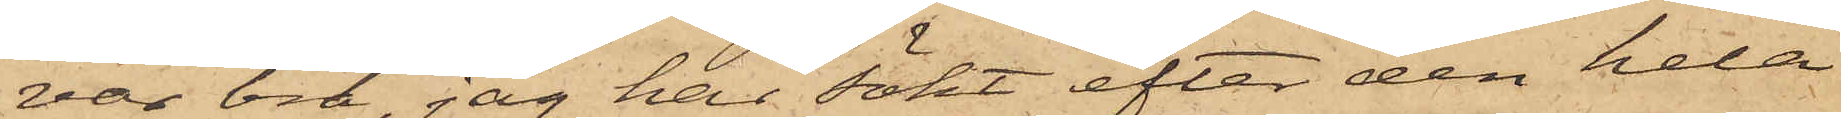var bra, jag har sökt efter den hela
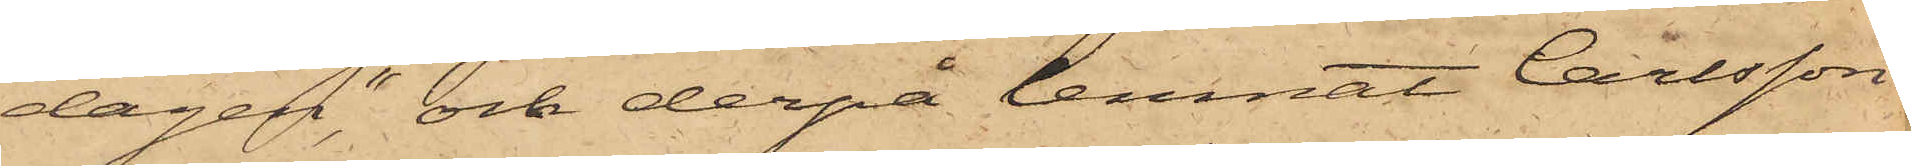dagen", och derpå lemnat Carlsson
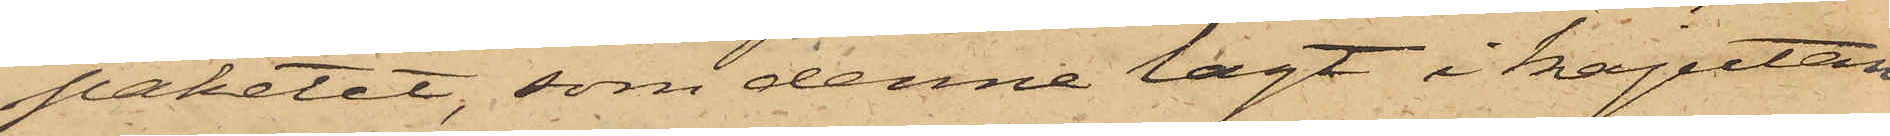paketet, som denne lagt i kajutan
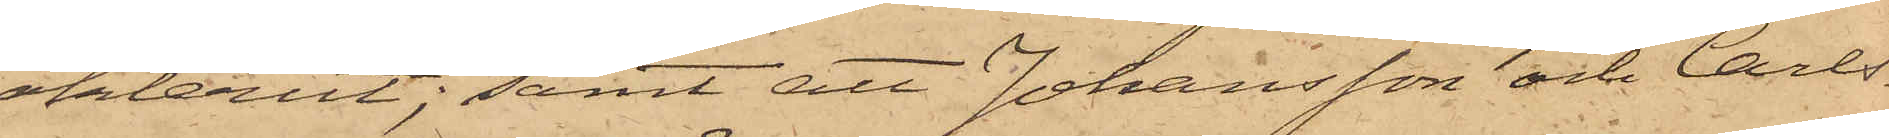akterut; samt att Johansson och Carls¬
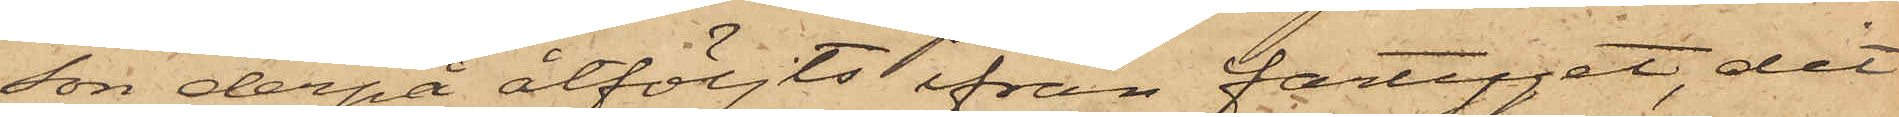son derpå åtföljts från fartyget, dit
